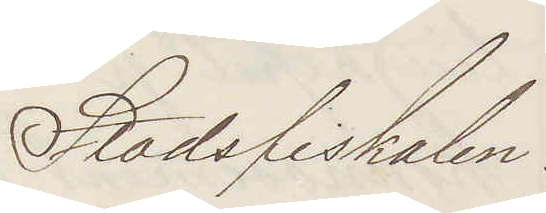Stadsfiskalen
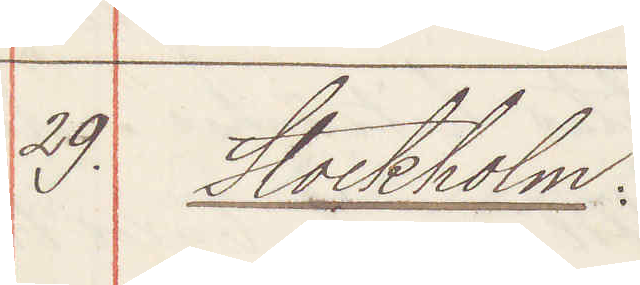29. Stockholm:
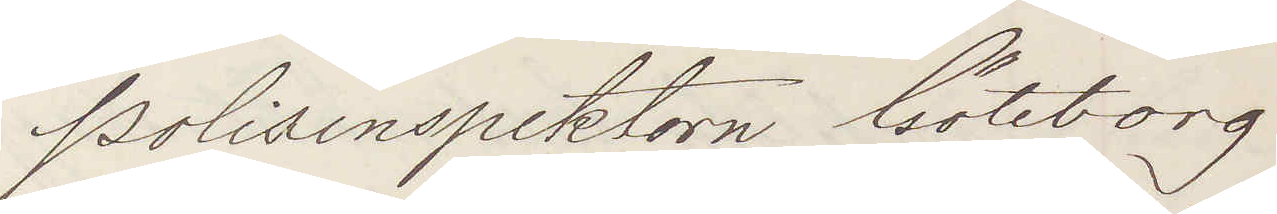Polisinspektorn Göteborg
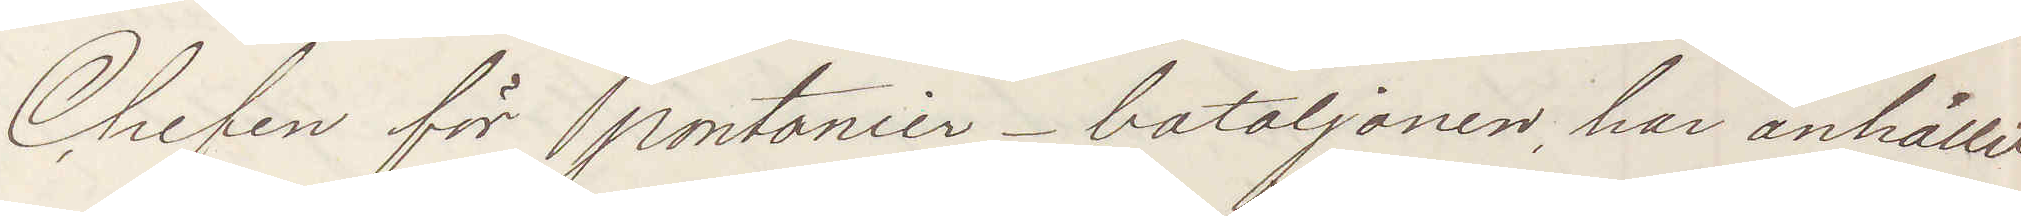Chefen för Pontonier-bataljonen har anhållit
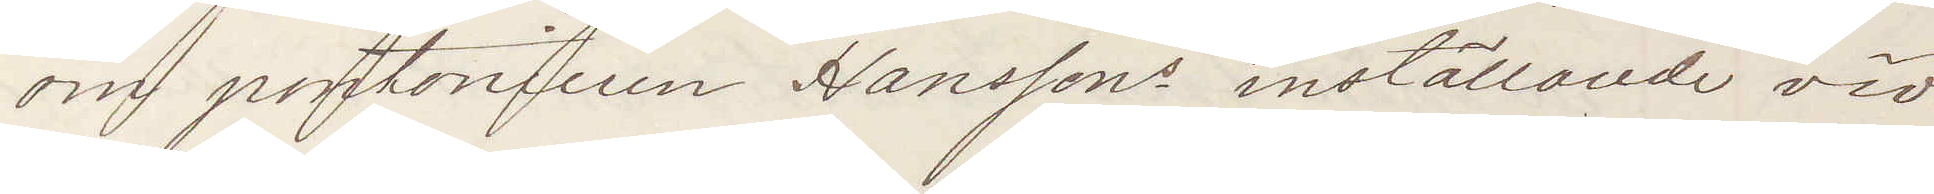om pontonieren Hanssons inställande vid
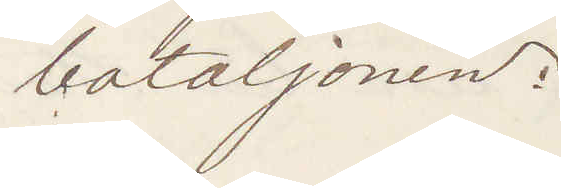bataljonen:
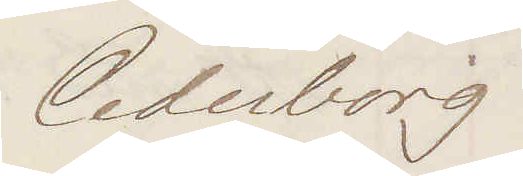Cederborg.
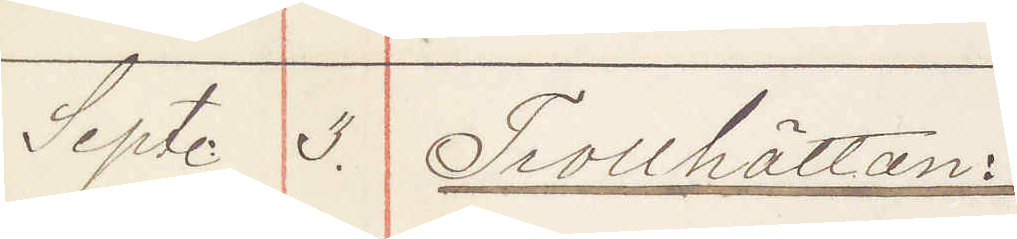Sept 3. Trollhättan:
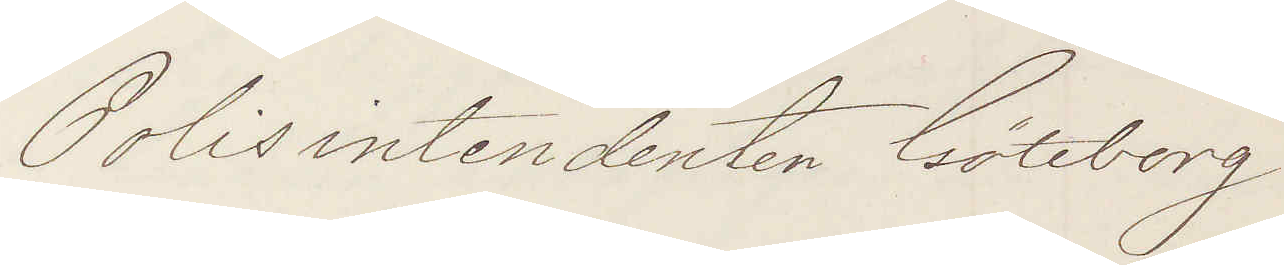Polisintendenten Göteborg
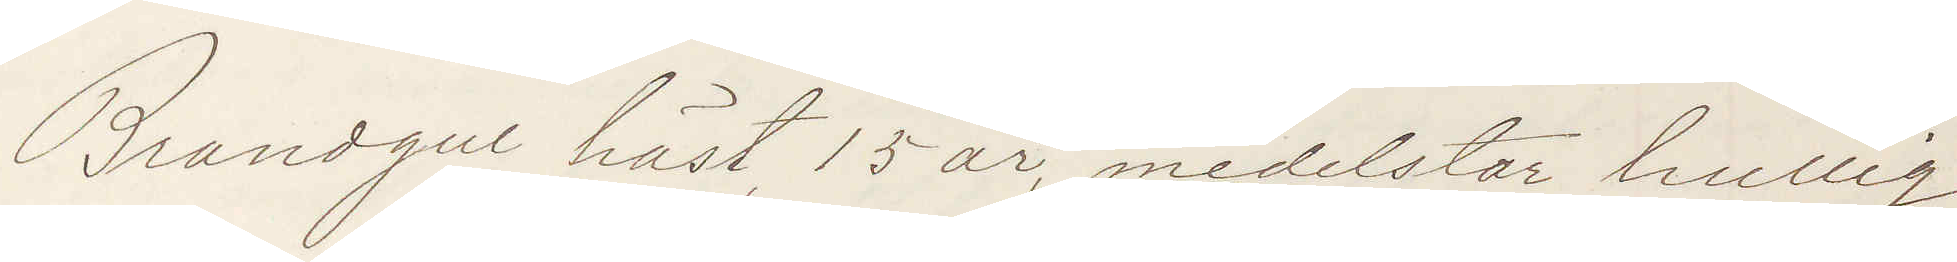Brandgul häst, 15 år, medelstor, krullig
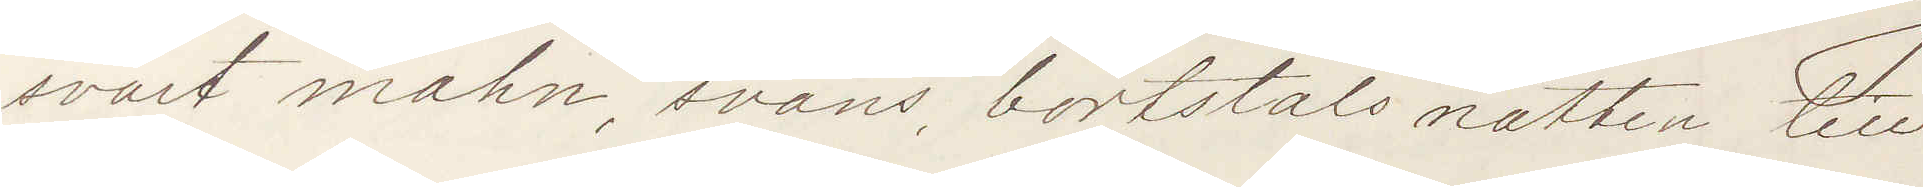svart mahn, svans, bortstals natten till
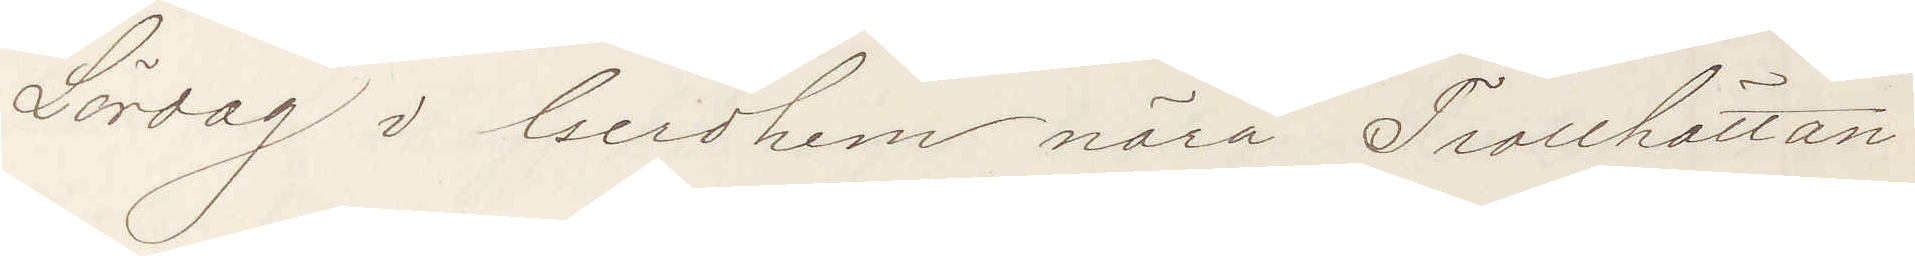Lördag i Gerdhem nära Trollhättan
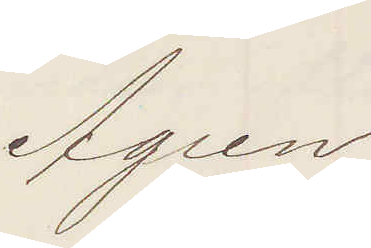Ågren
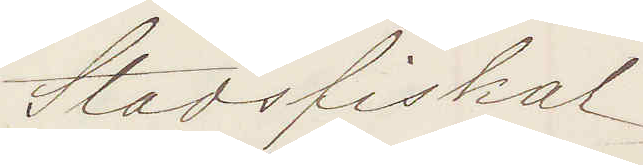Stadsfiskal
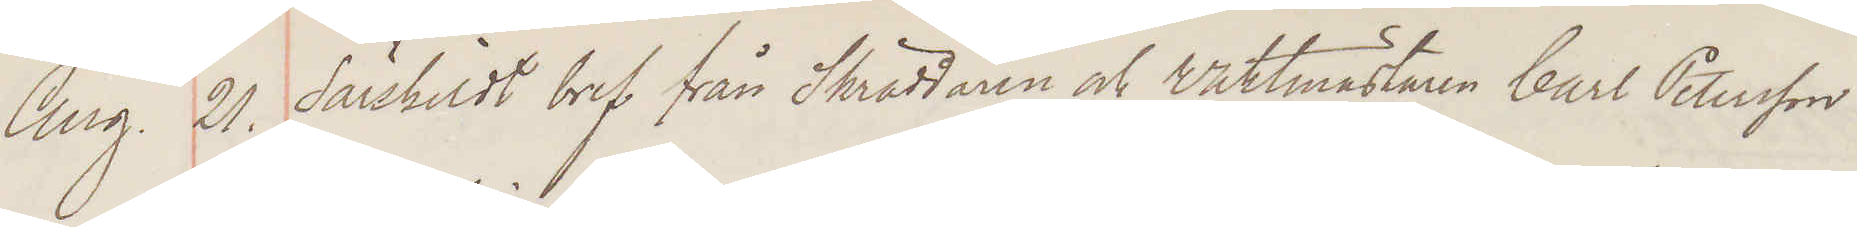Aug. 21. Särskildt bref från Skräddaren och Waktmästaren Carl Peterson
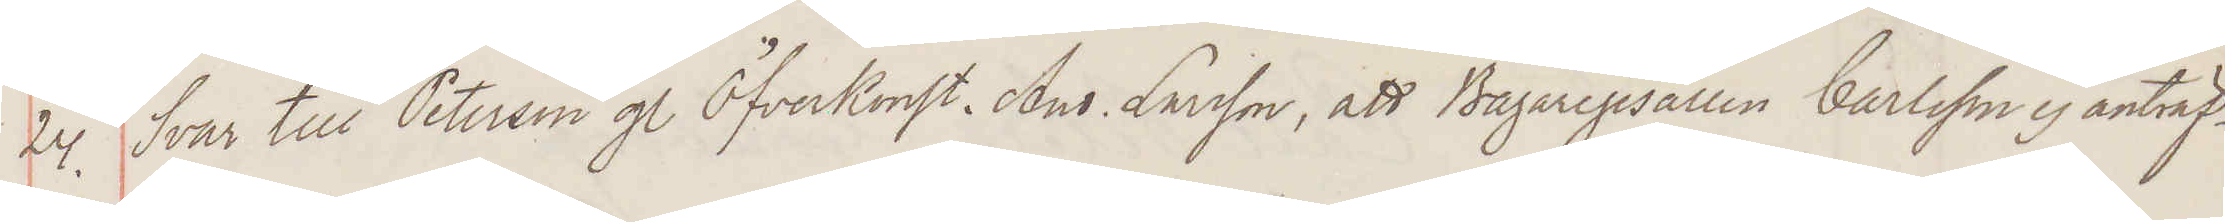24. Svar till Peterson g. Öfverkonst And. Larsson, att Bagaregesällen ej antraf¬
